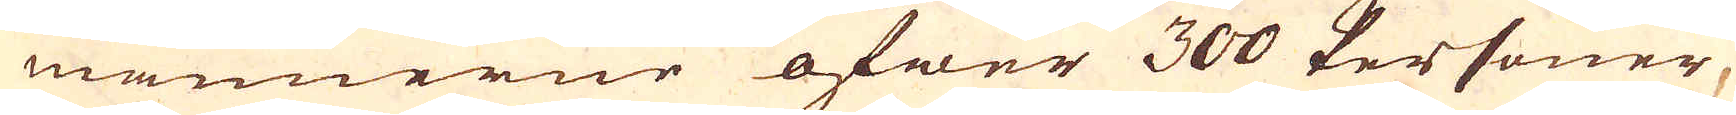männerne öfwer 300 Personer,
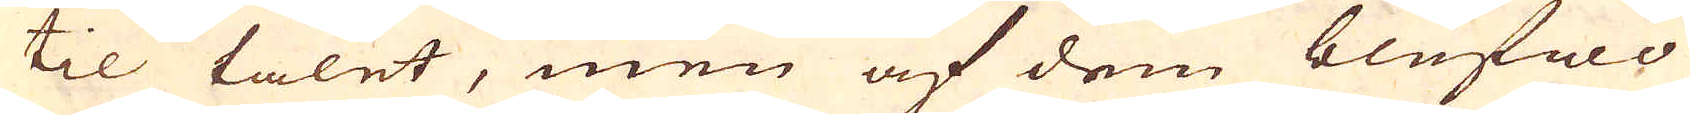til talet, men af dem blefwo
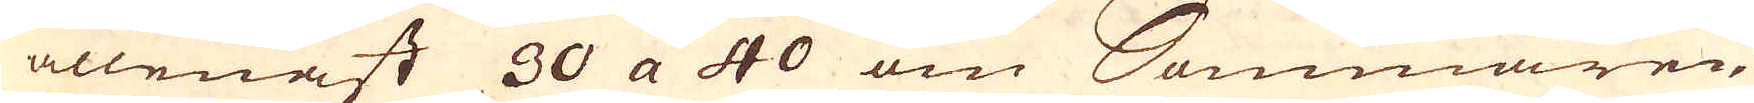 allenast 30 a 40 om Sommaren,
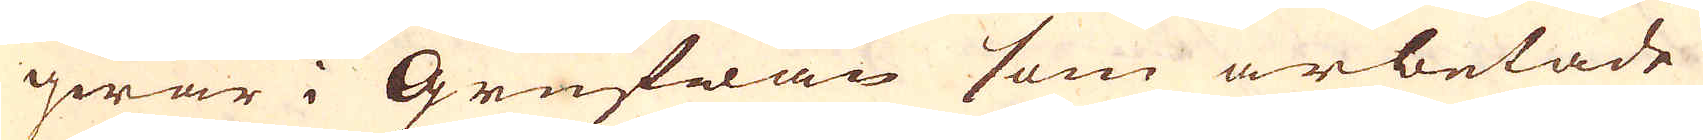qwar i Grufwan som arbetade
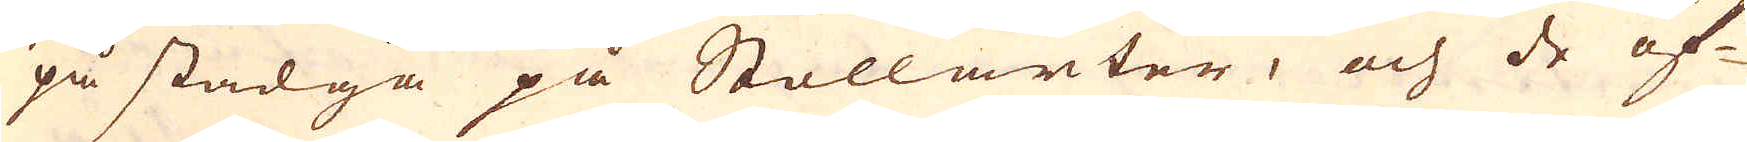på stadga på Stollarter, och de öf-
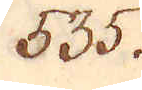535.
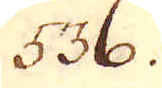536.
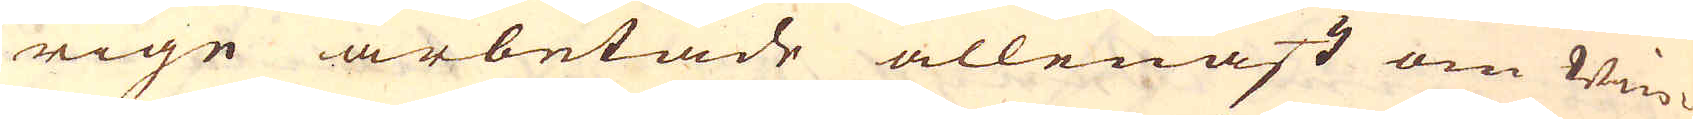rige arbetade allenast om Win-
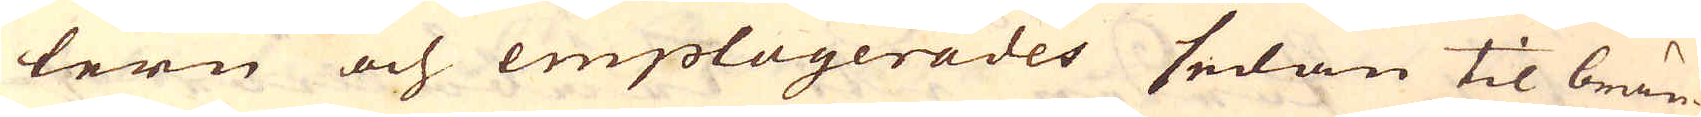tern och emploijerades sedan til brän-
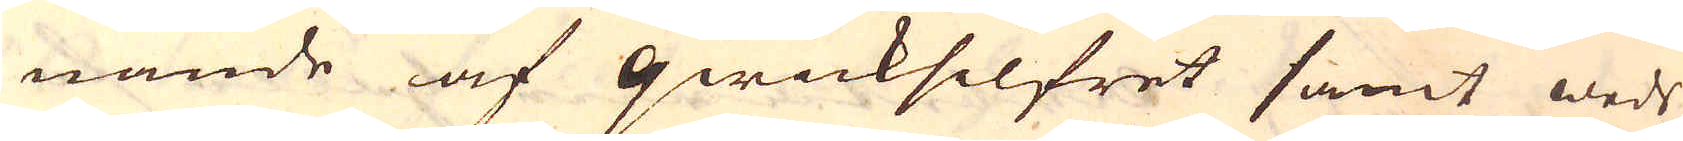nande af qwicksilfret samt weds
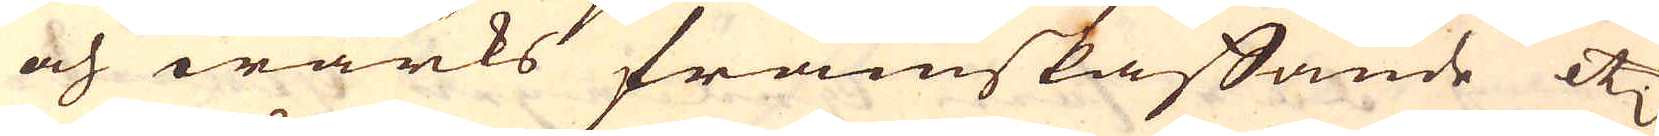och wärks framskaffande etc.
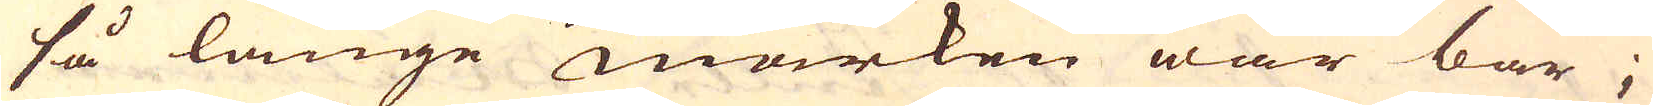så länge marken war bar;
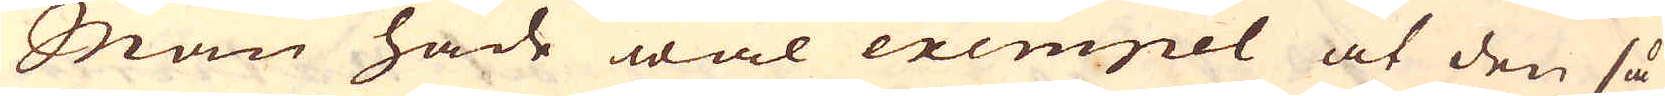Man hade wäl exempel at den så
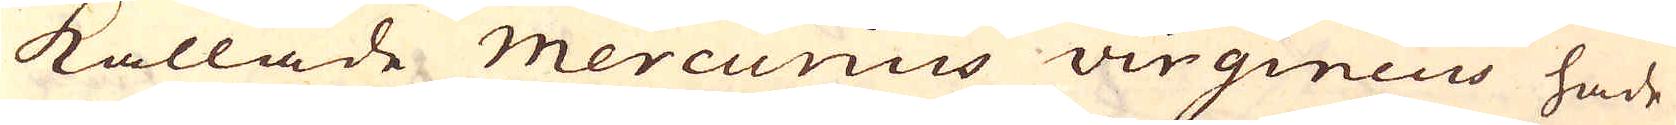kallade mercurius virgineus hade
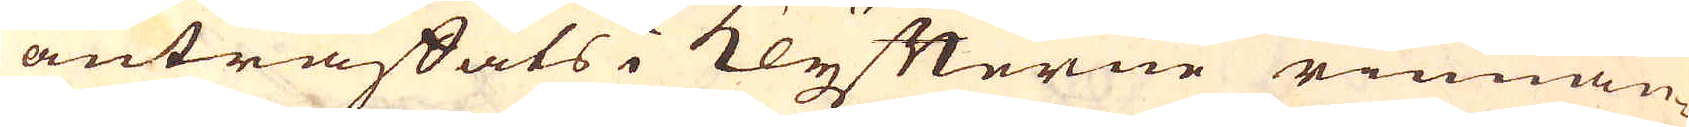anträffats i Klyfterne rinnan-
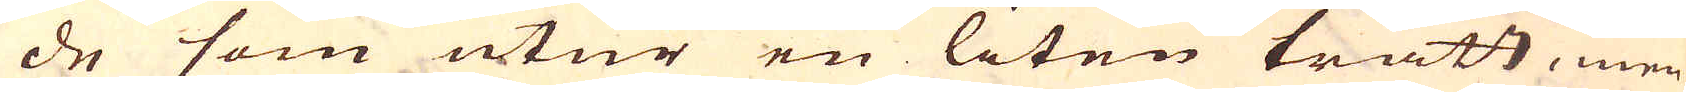de som utur en liten tratt, men
